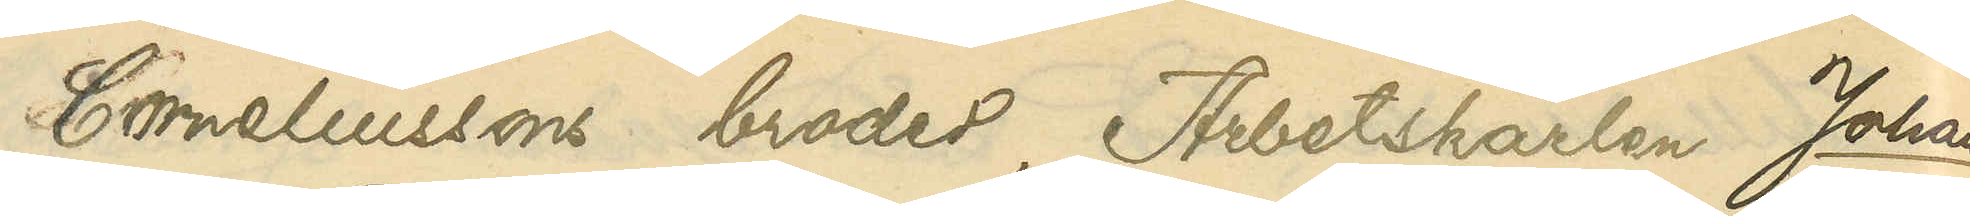Corneliussons broder, Arbetskarlen Johan
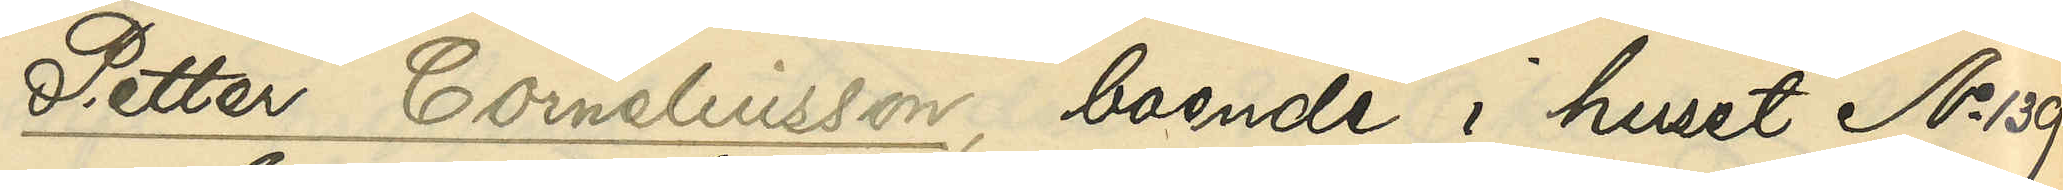Petter Corneliusson, boende i huset No 139
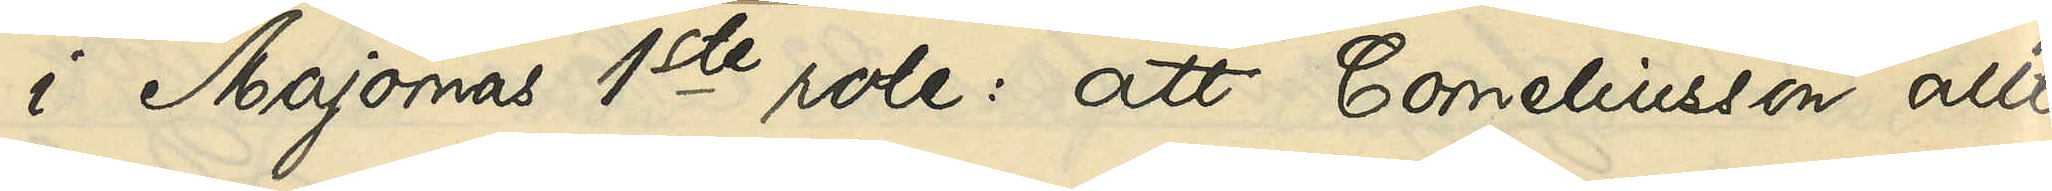i Majornas 1ste rote: att Corneliusson allt
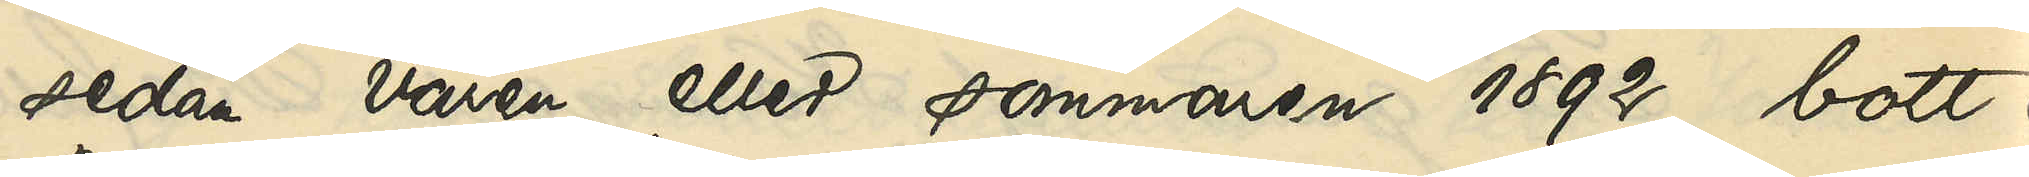sedan våren eller sommaren 1892 bott i
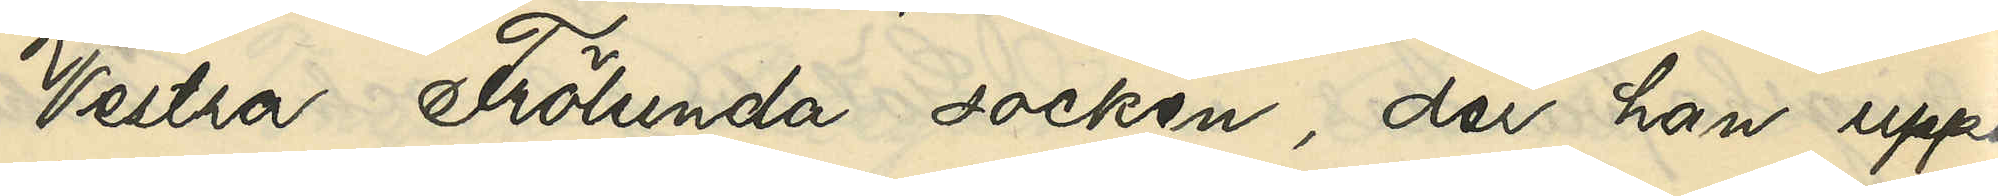Vestra Frölunda socken, der han uppe¬
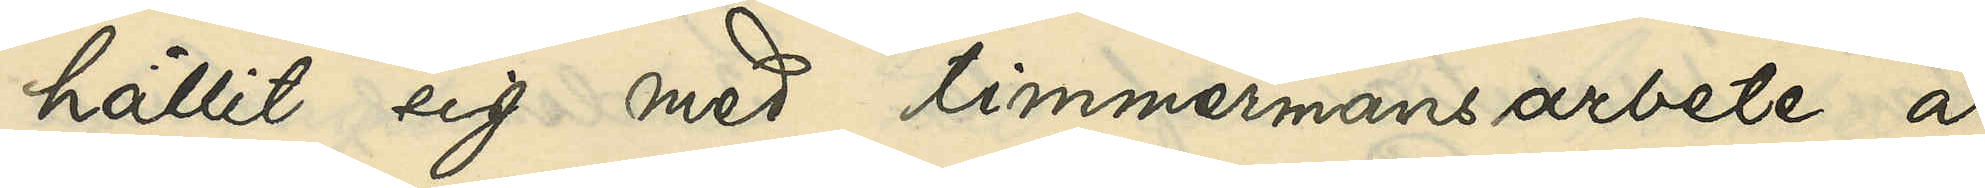hållit sig med timmermansarbete å
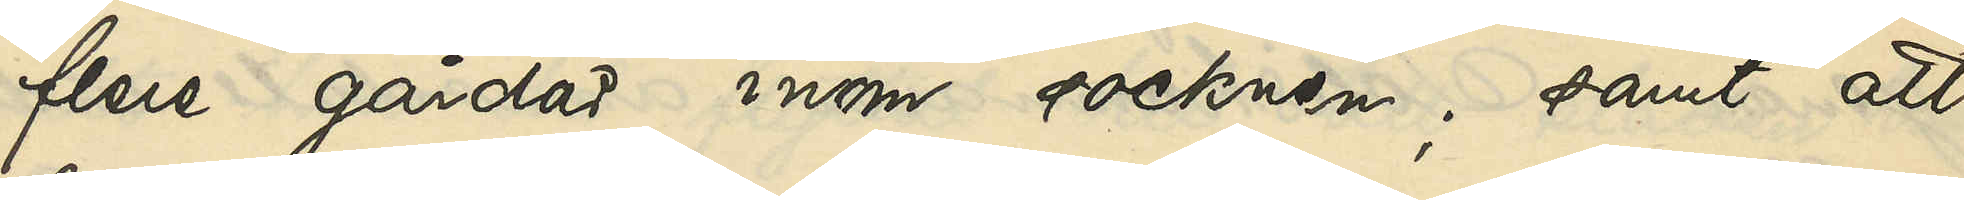flere gårdar inom socknen; samt att
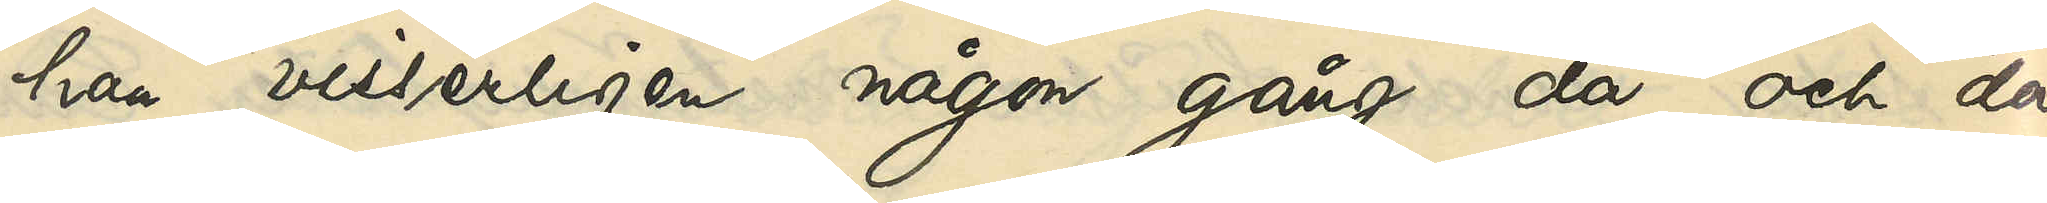han visserligen någon gång då och då
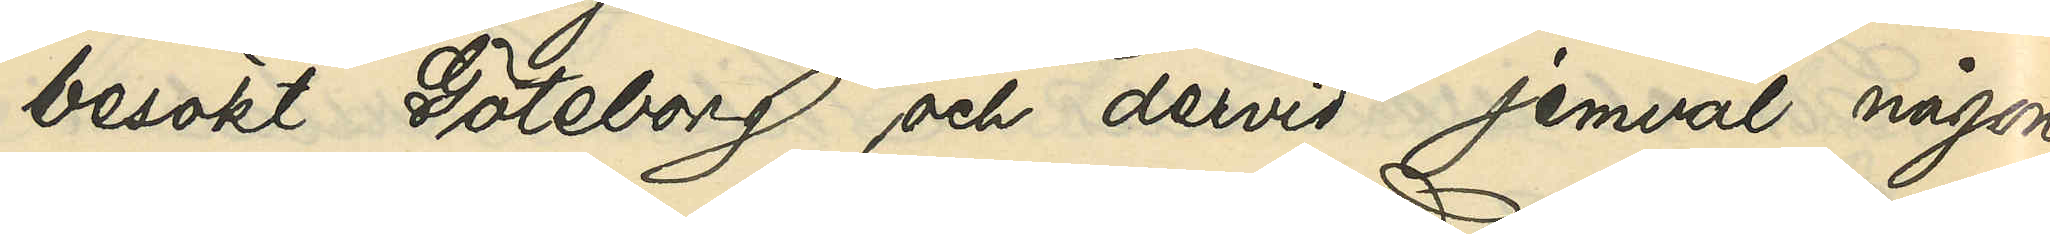besökt Göteborg och dervid jemväl någon
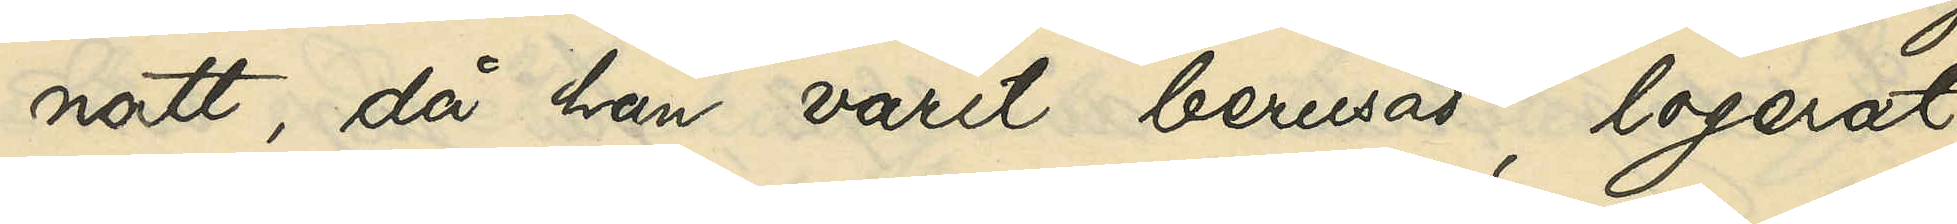natt, då han varit berusad, logerat
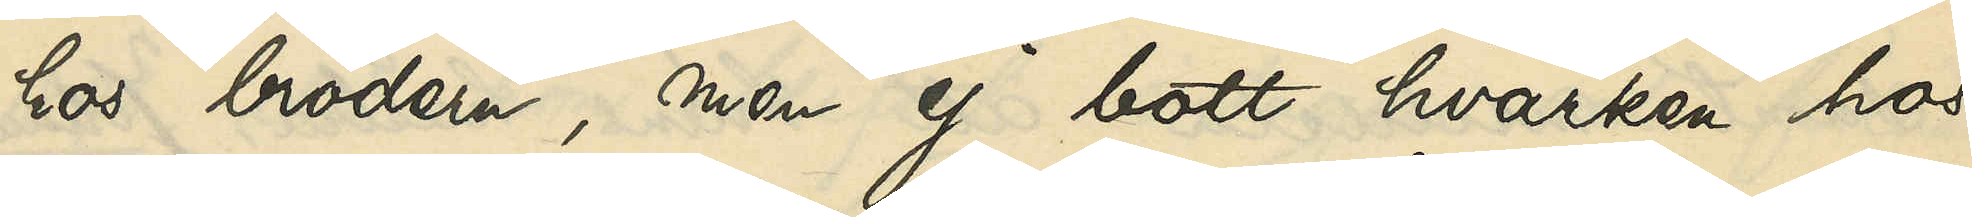hos brodern, men ej bott hvarken hos
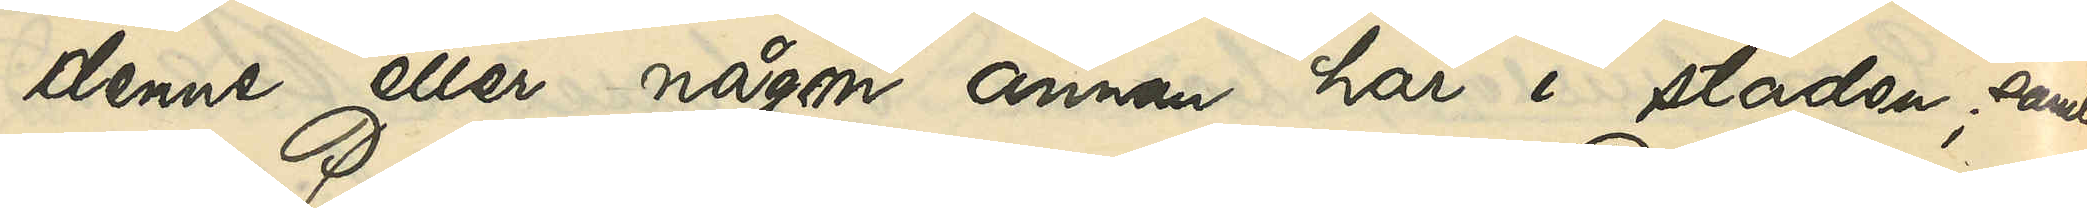denne eller någon annan här i staden; samt
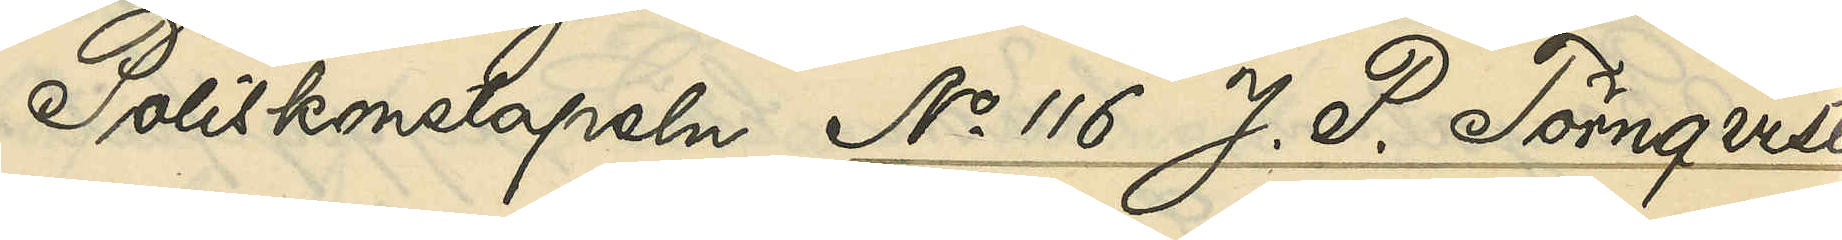Poliskonstapeln No 116 J. P. Törnqvist:
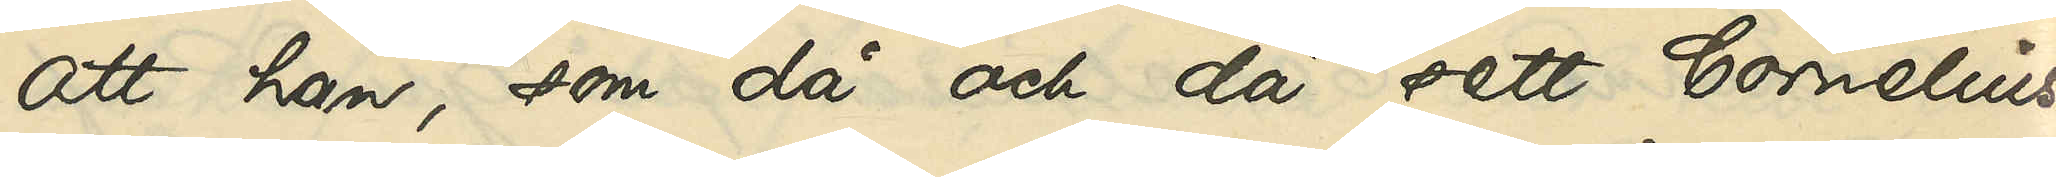att han, som då och då sett Cornelius¬
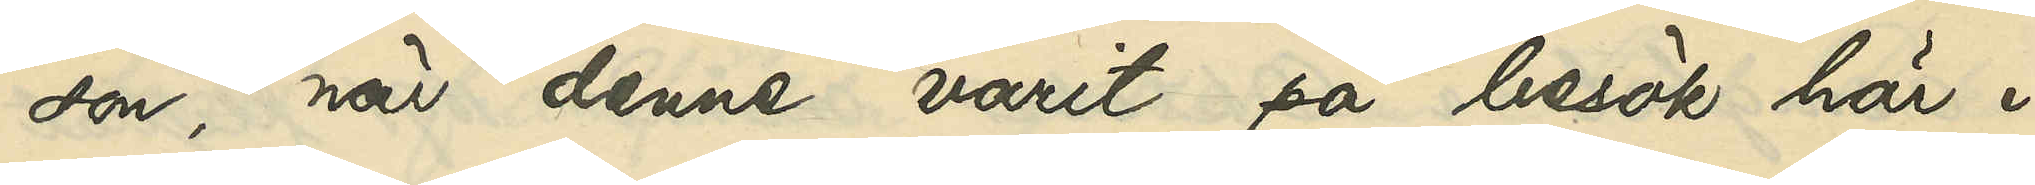son, när denne varit på besök här i
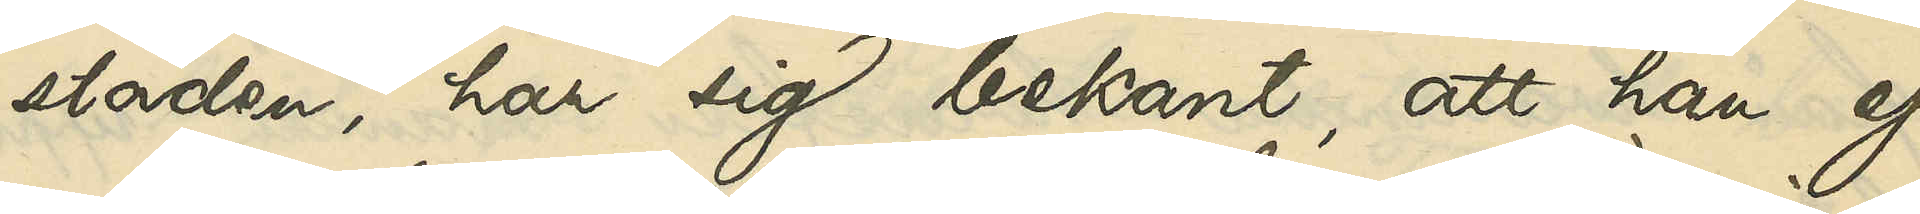staden, har sig bekant, att han ej
